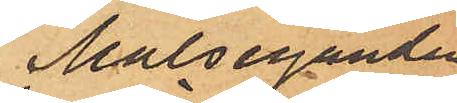Målseganden
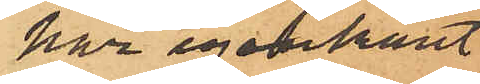har igenkänt
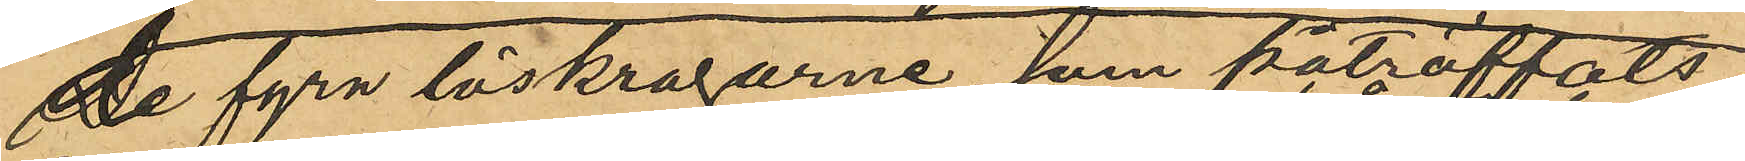De fyra löskragarne, som påträfftats i
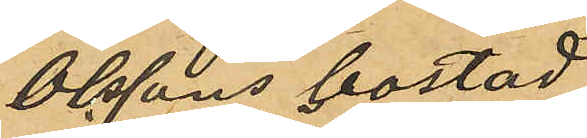Olssons bostad
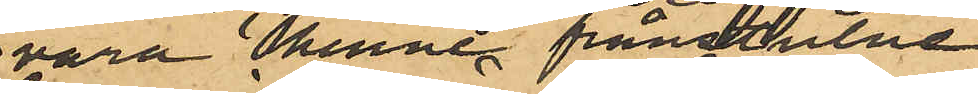vara henne frånstulne
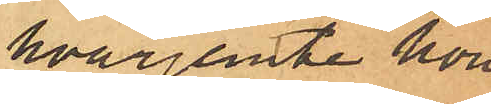hvarjemte hon
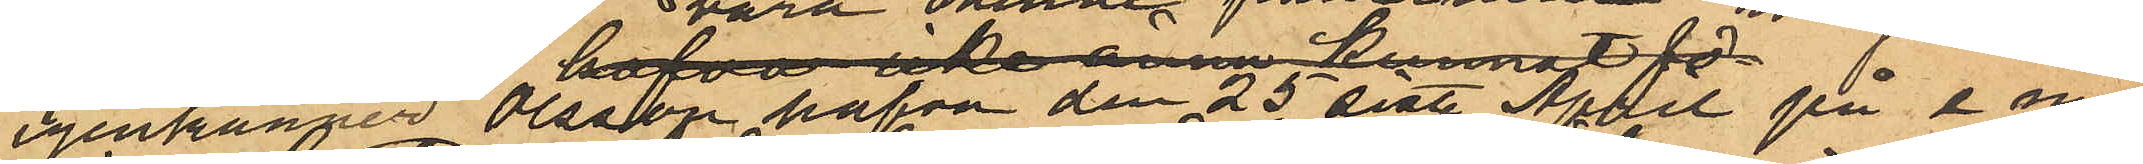igenkänner Olsson hafva den 25 sist. April på e. m.
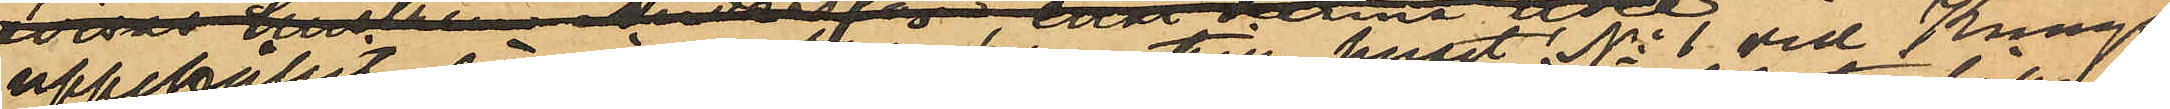uppehållit sig i portgången till huset No 1 vid Kungs¬
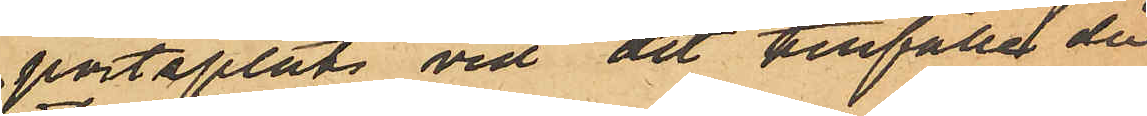portsplats vid det tillfället då
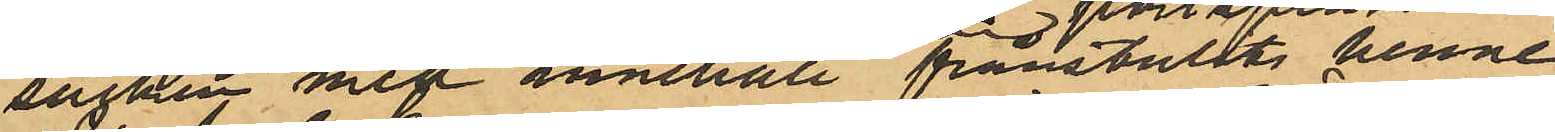säcken med innehåll frånstulits henne.
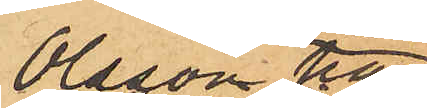Olsson har
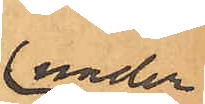under
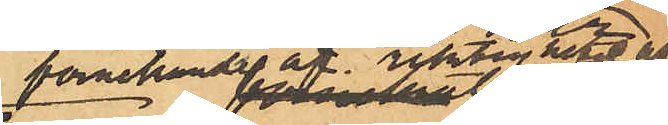förnekande af riktigheten af
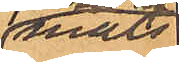måls¬
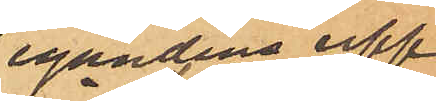egandens upp¬
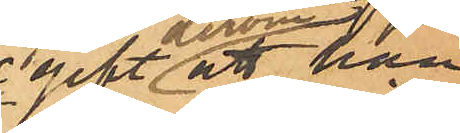gift att han
